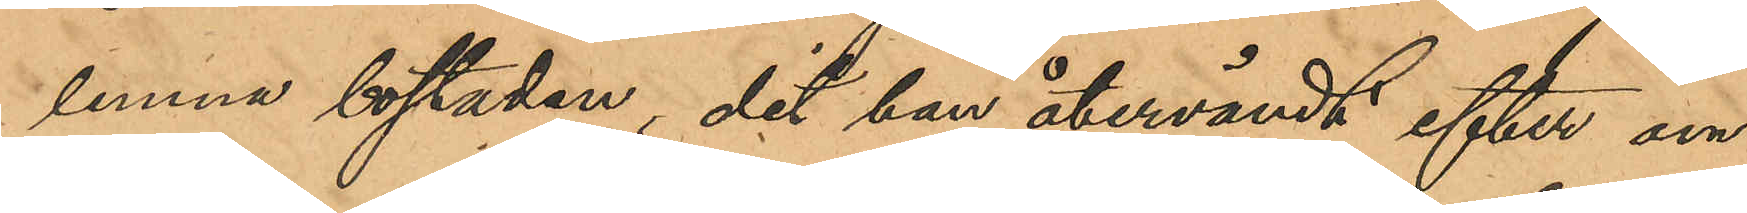lemna bostaden, dit han återvändt efter om¬
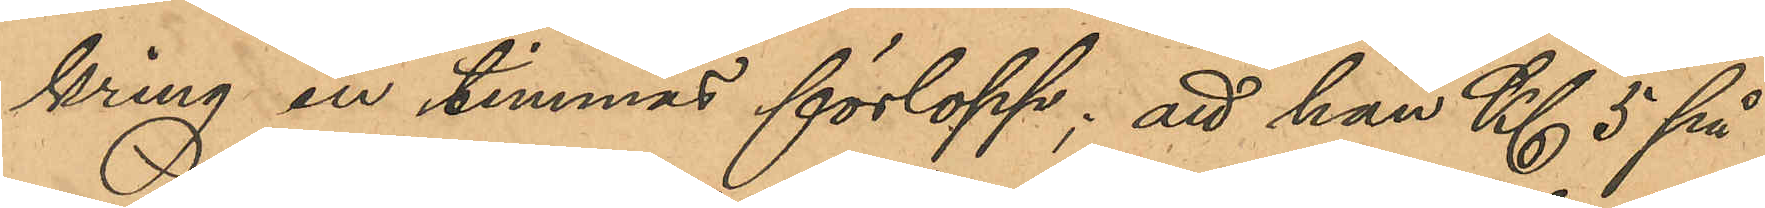kring en timmes förlopp; att han Kl 5 på
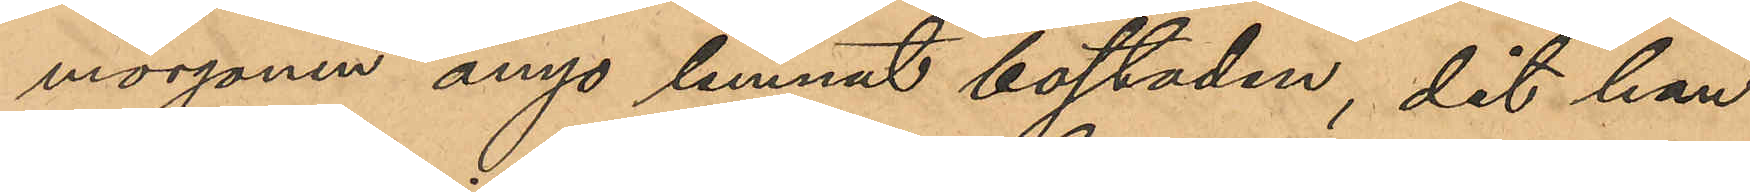morgonen ånyo lemnat bostaden, dit han
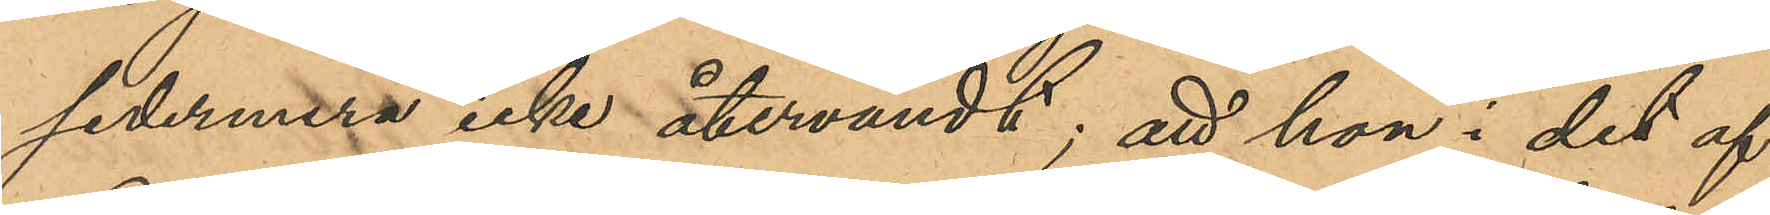sedermera icke återvändt; att hon i det af
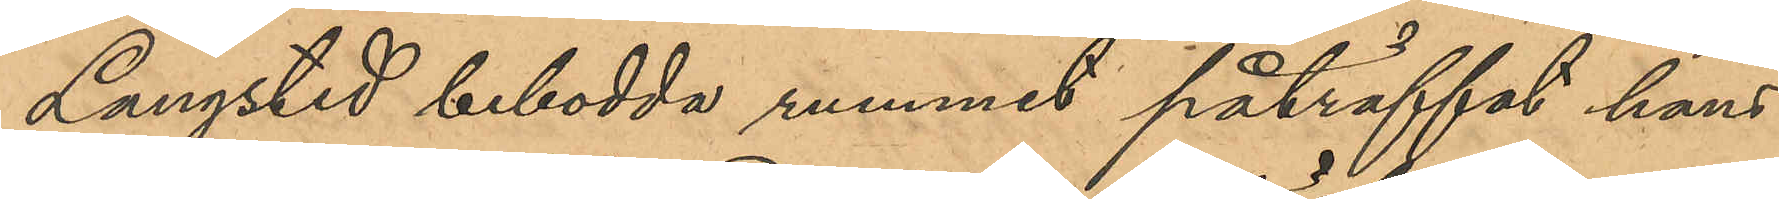Langsted bebodda rummet påträffat hans
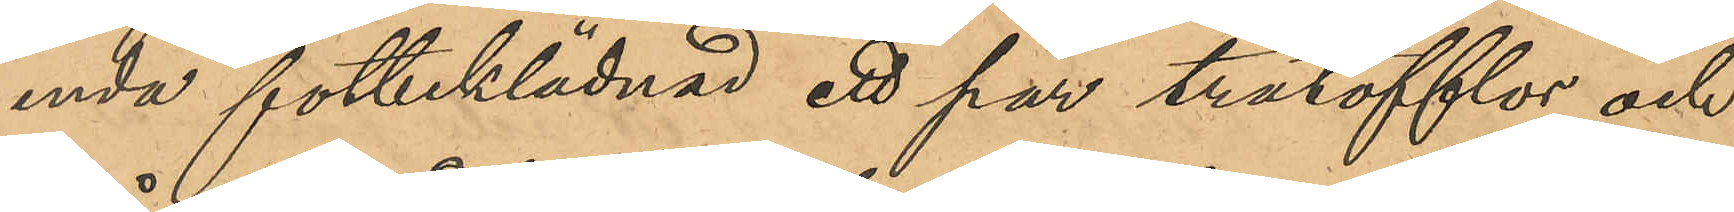enda fotbeklädnad ett par trätofflor och
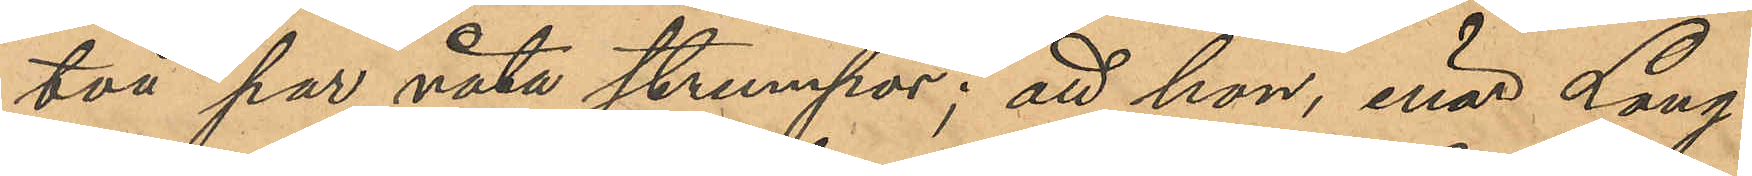två par våta strumpor; att hon, enär Lang¬
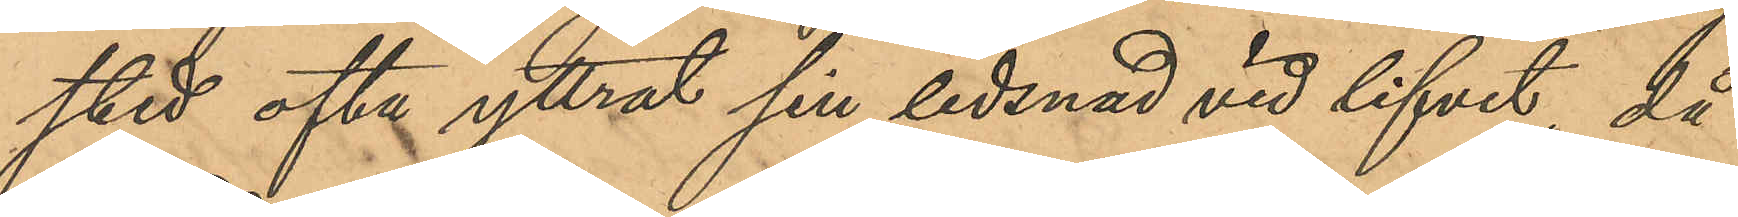stedt ofta yttrat sin ledsnad vid lifvet, då
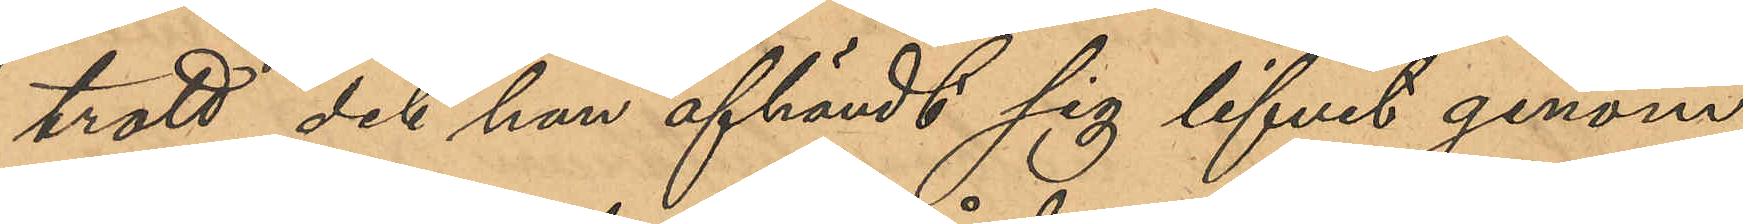trott det han afhändt sig lifvet genom
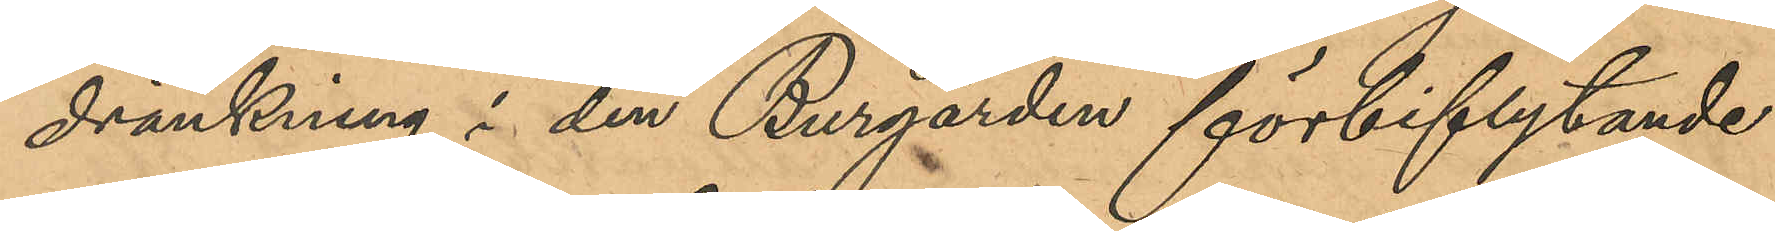dränkning i den Burgården förbiflytande
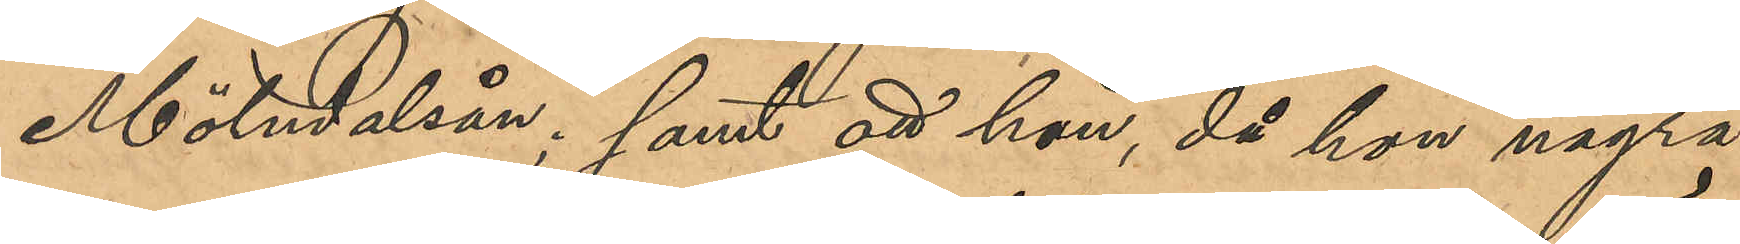Mölndalsån; samt att hon, då hon några
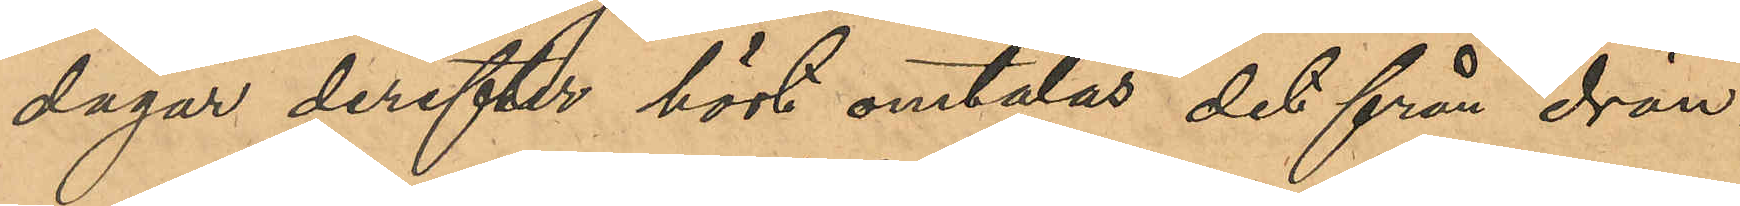dagar derefter hört omtalas det från drän¬
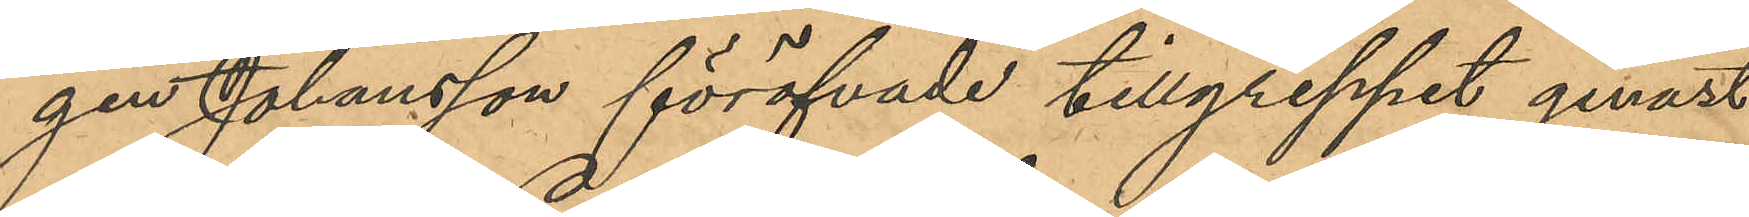gen Johansson föröfvade tillgreppet genast
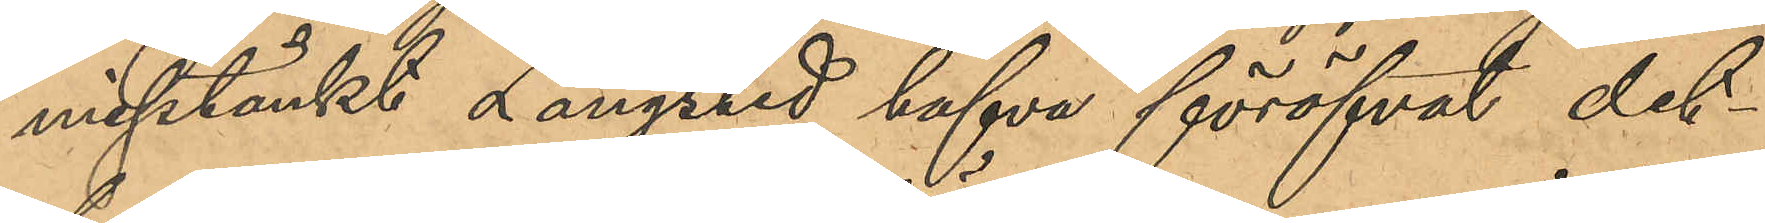misstänkt Langsted hafva föröfvat det¬
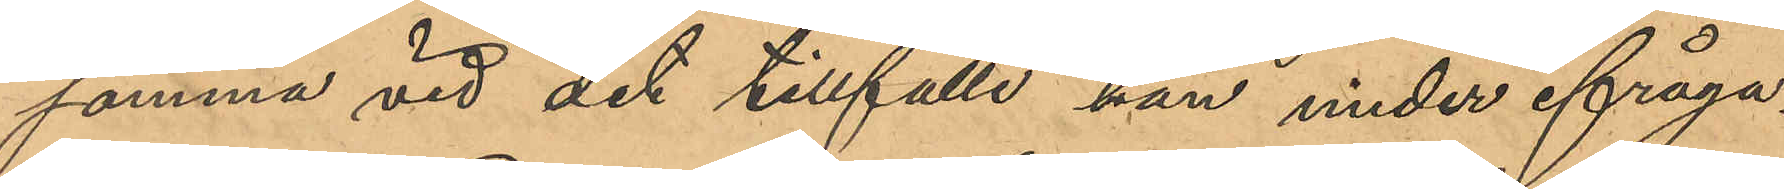samma vid det tillfälle han under ifråga¬
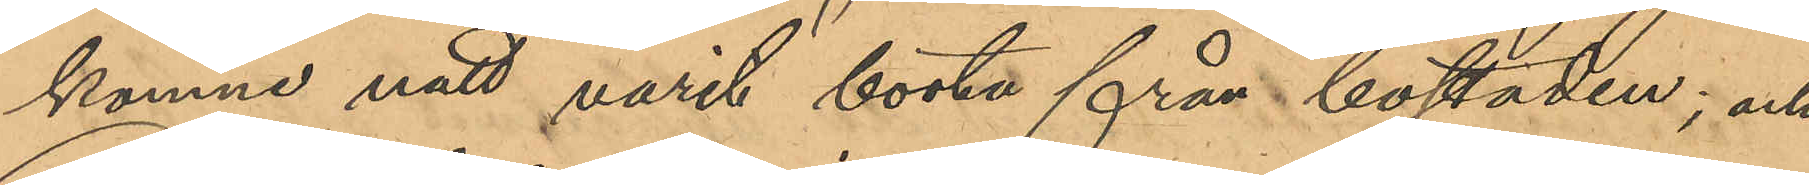komne natt varit borta från bostaden; och
